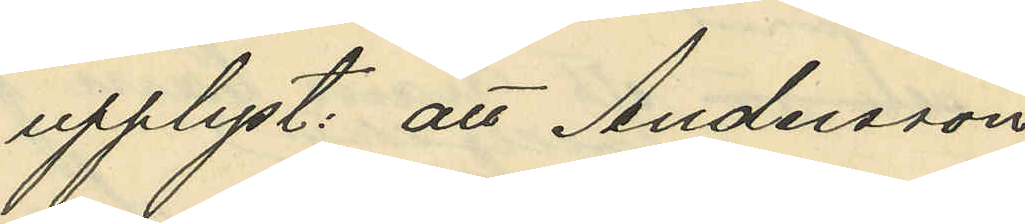upplyst: att Andersson,
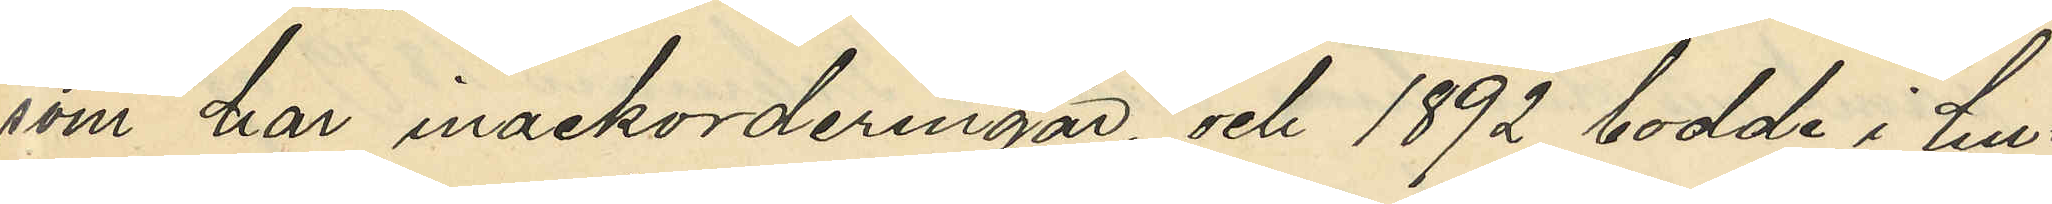som har inackorderingar, och 1892 bodde i hu¬
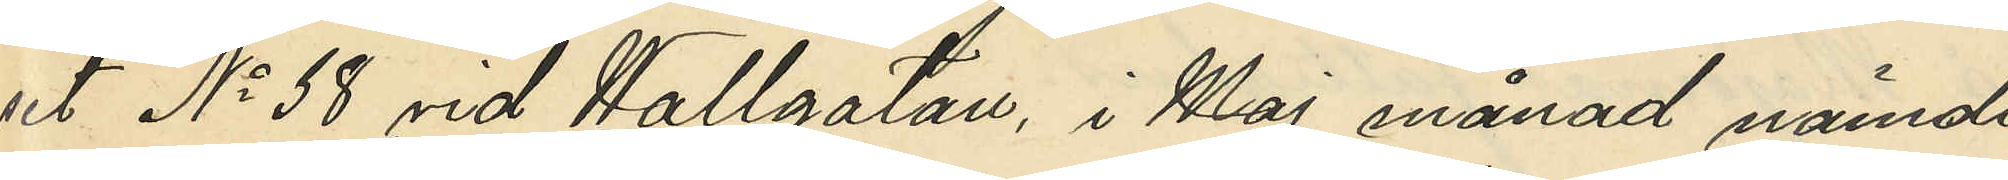set No 58 vid Wallgatan, i Maj månad nämnde
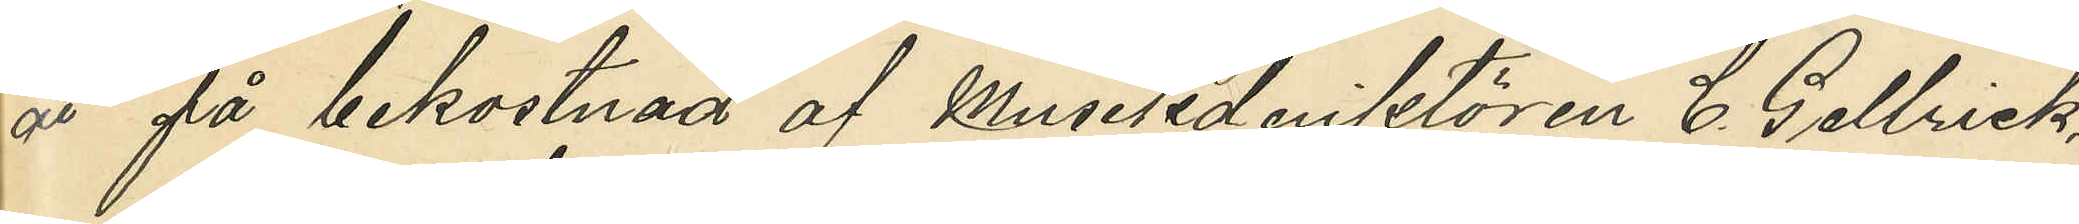år på bekostnad af Musikdirektören C. Gellrick
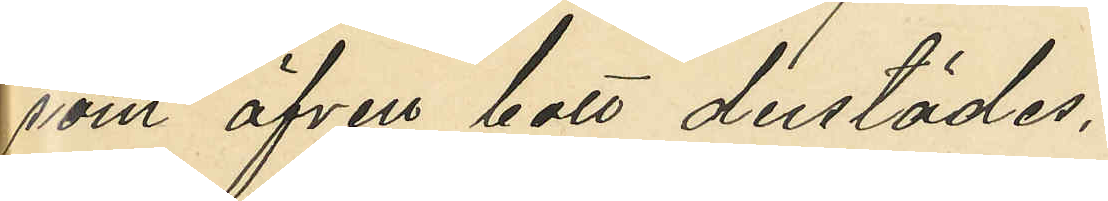som äfven bott derstädes,
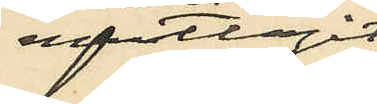emottagit
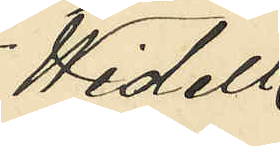Widell
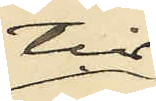till
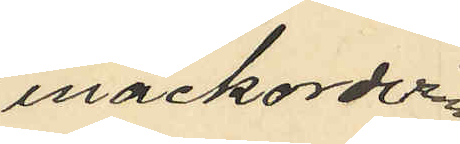inackordering
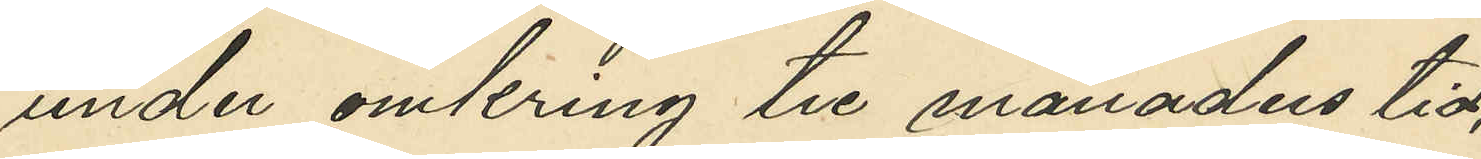under omkring tre månaders tid;
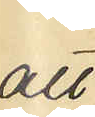att 
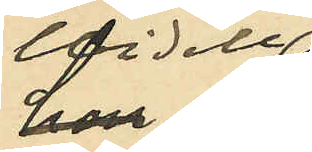Widell 
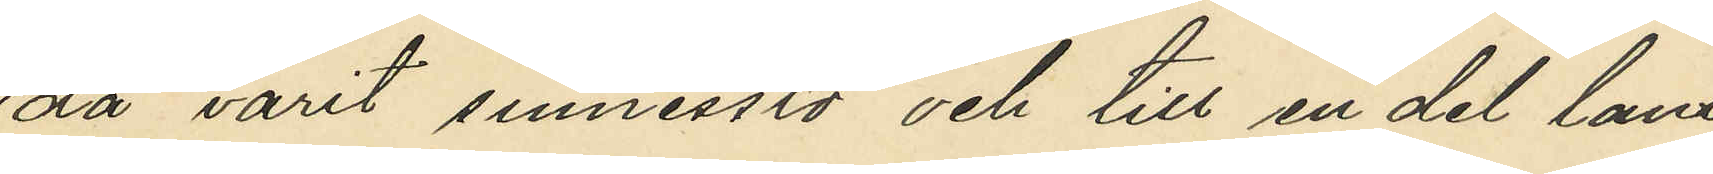då varit sinnesslö och till en del lam,
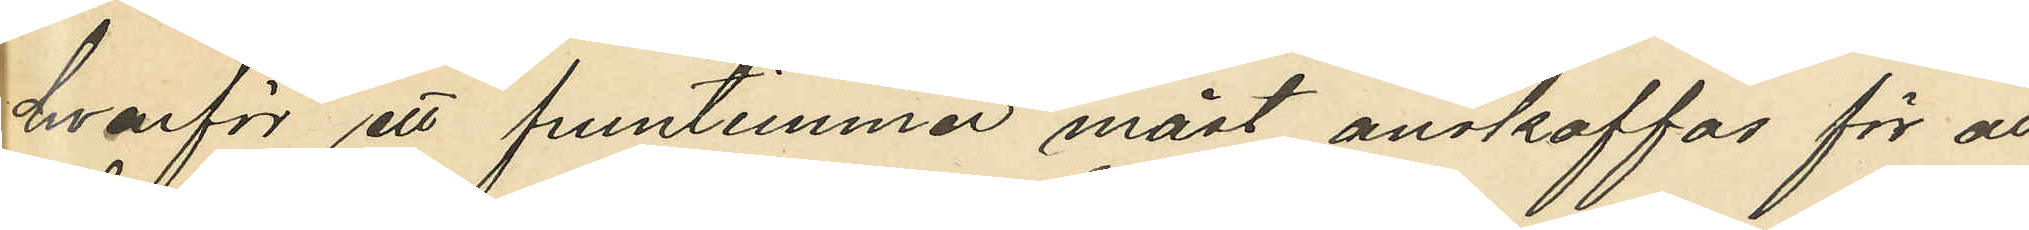hvarför ett fruntimmer måst anskaffas för att
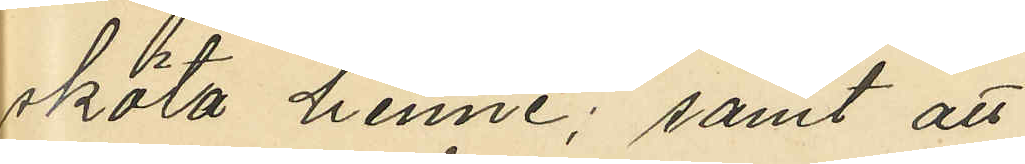sköta henne; samt att
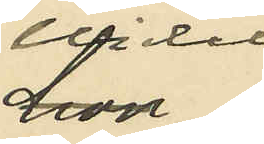Widell
